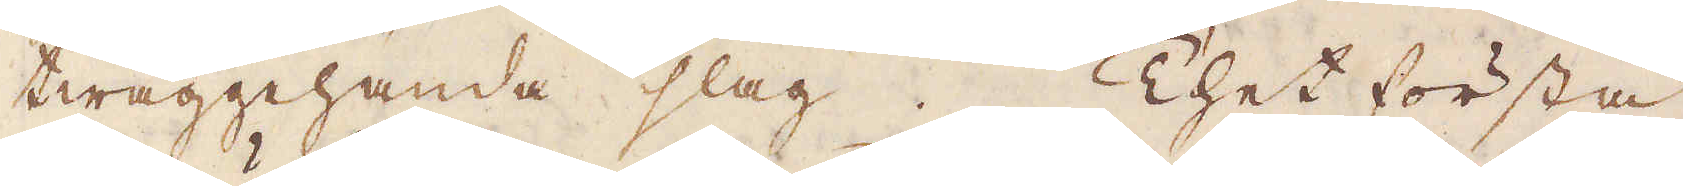twäggehanda slag. Thet första
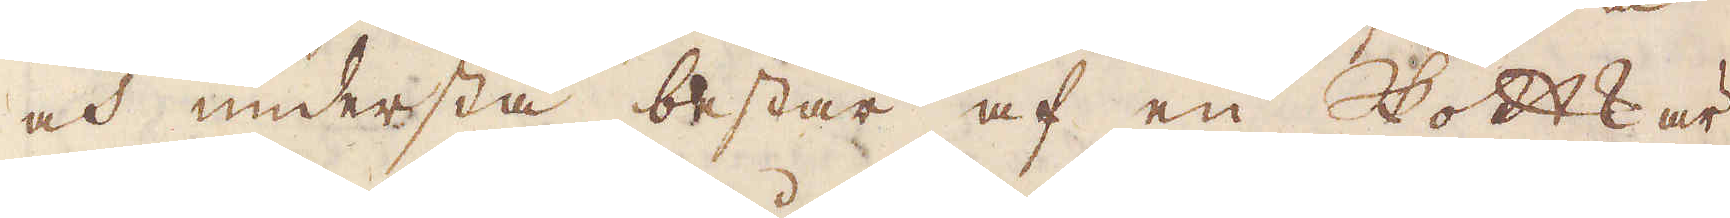och understa består af en Skottkär-
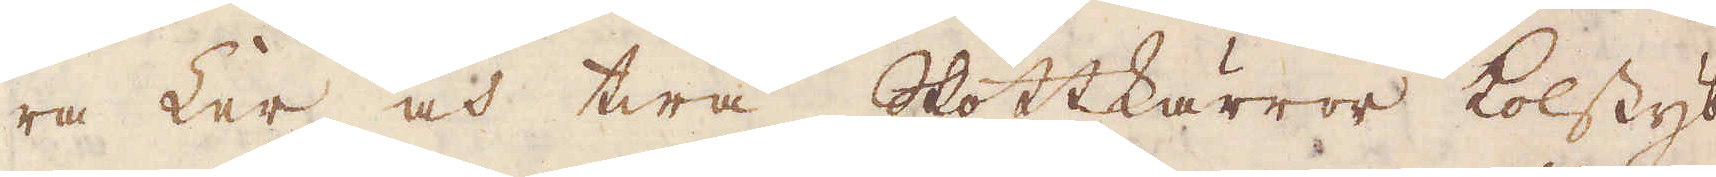ra Ler och twå Skottkärror kolstyb-
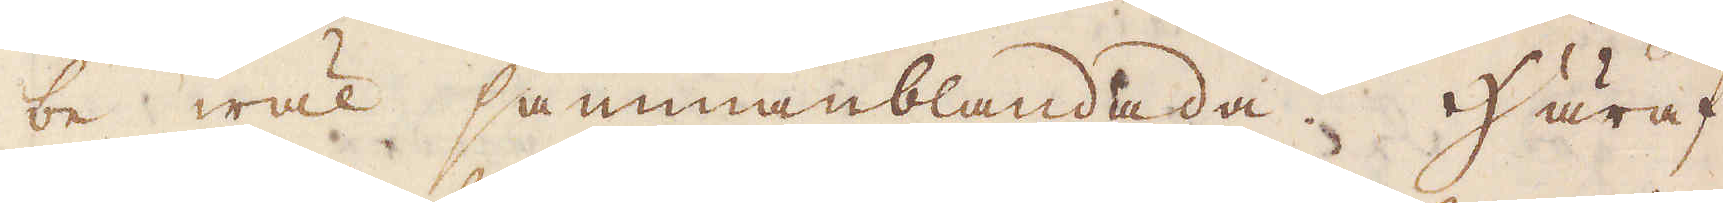be wäl sammanblandada. Häraf
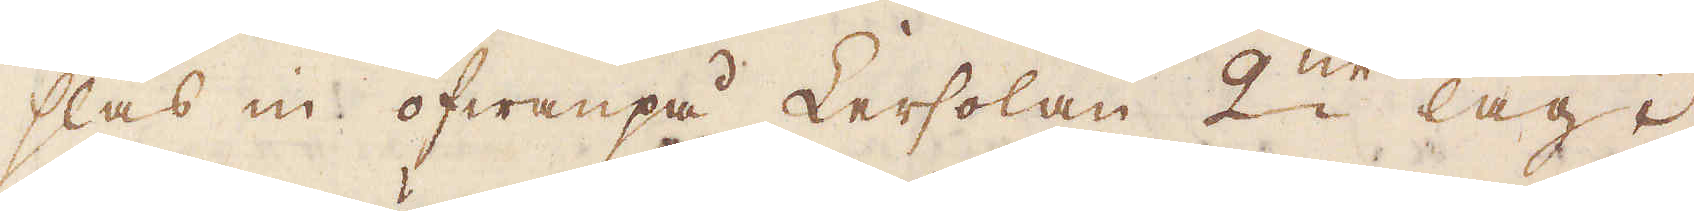slås in ofwanpå Lersolan 2:ne lag i
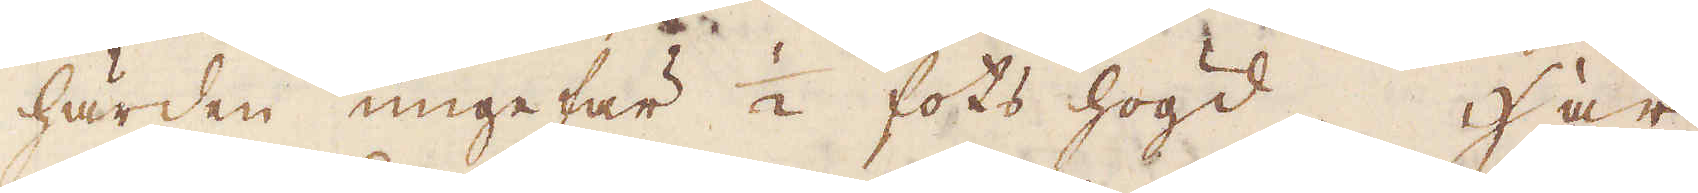härden ungefär 1/2 fots högd. Här
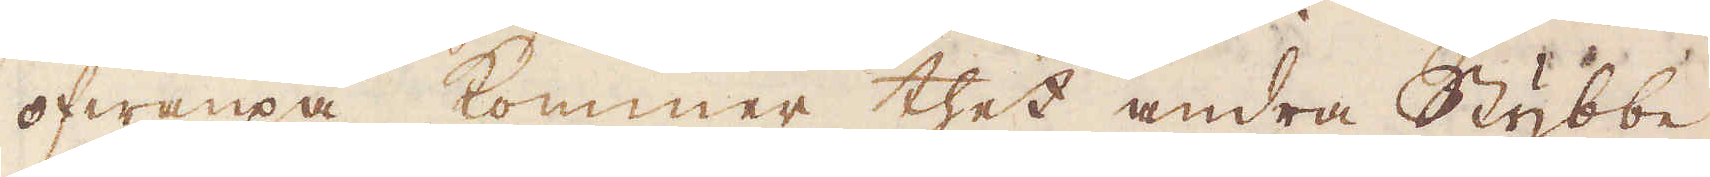ofwanpå kommer thet andra Stybbe
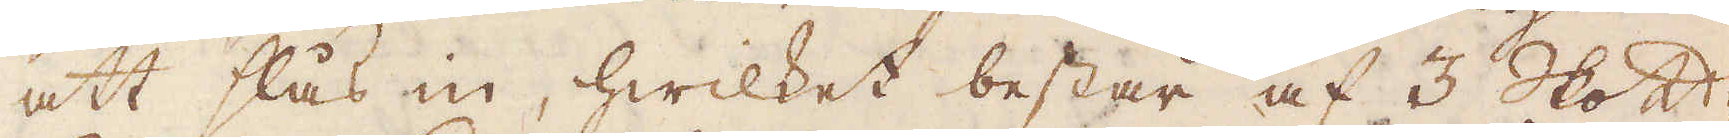att slås in, hwilket består af 3 Skott-
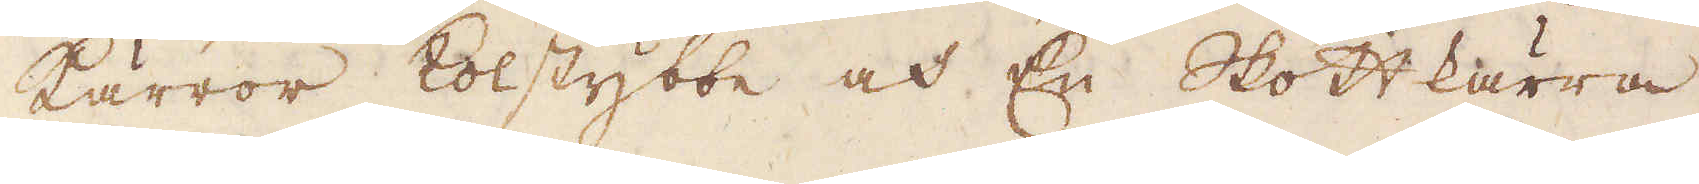kärror kolstybbe och En Skottkärra
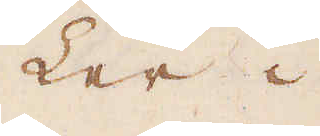Ler i
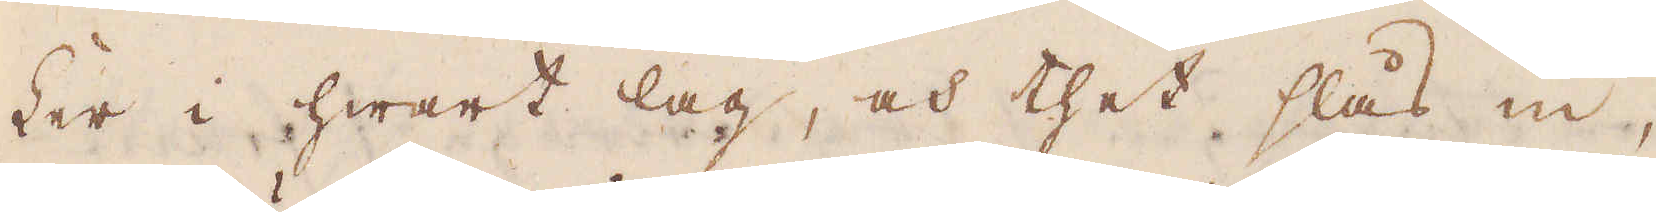Ler i hwart lag, och thet slås in,
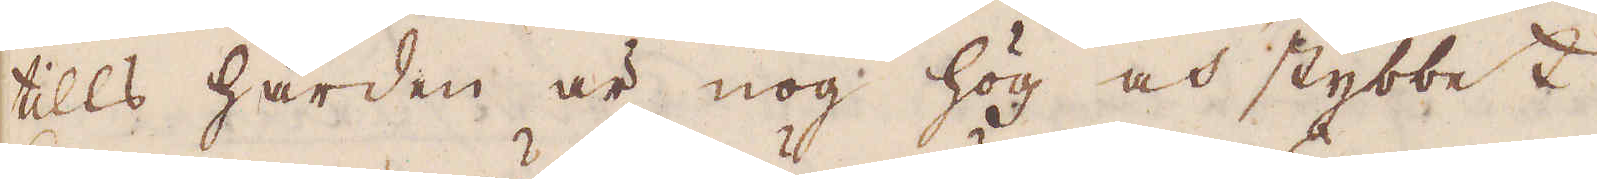tills härden är nog hög och stybbet
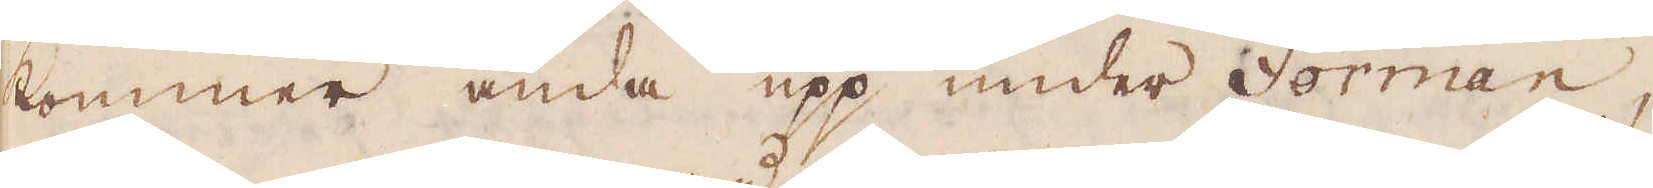kommer ända upp under Forman,
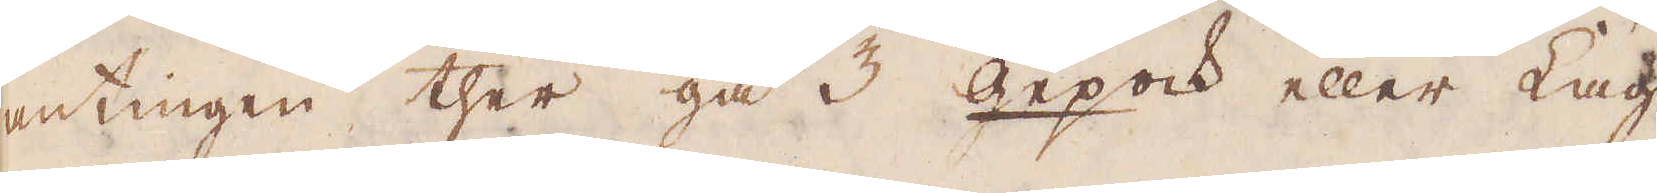antingen ther gå 3 gepock eller Lag,
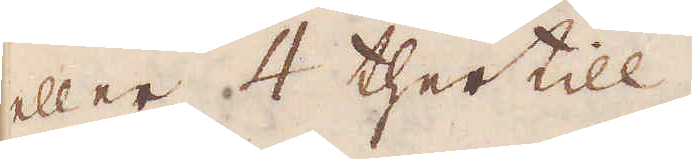eller 4 thertill.
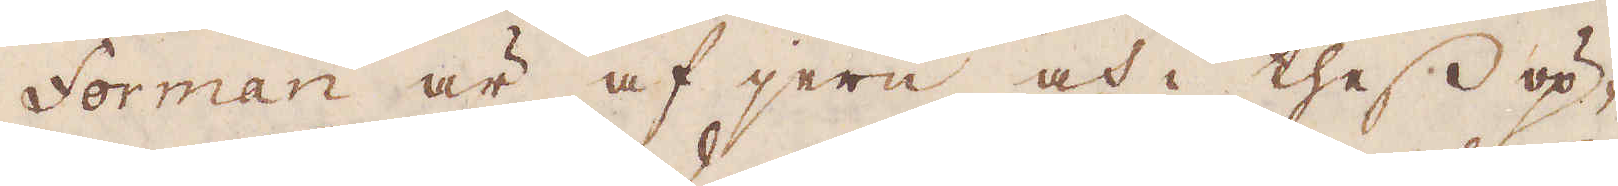Forman är af jern och i thess öp-
